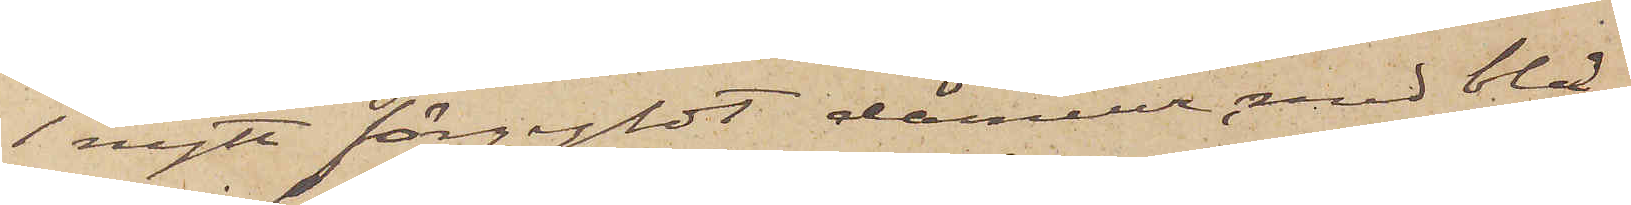1 nytt förgyldt dameur med blå
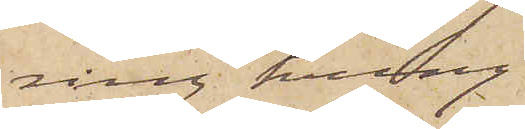ring kring
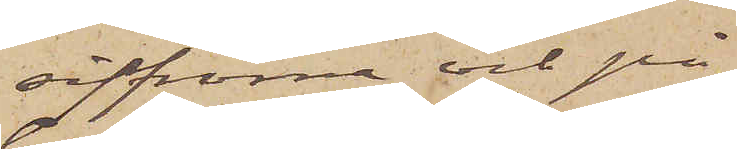siffrorna och på
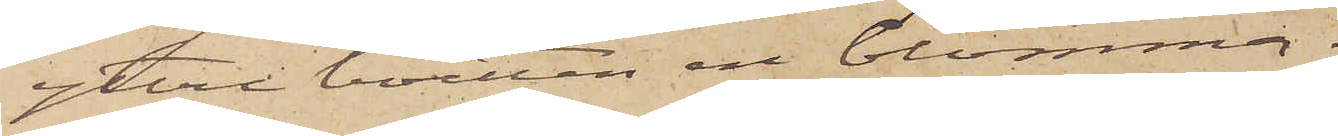yttre boetten en blomma;
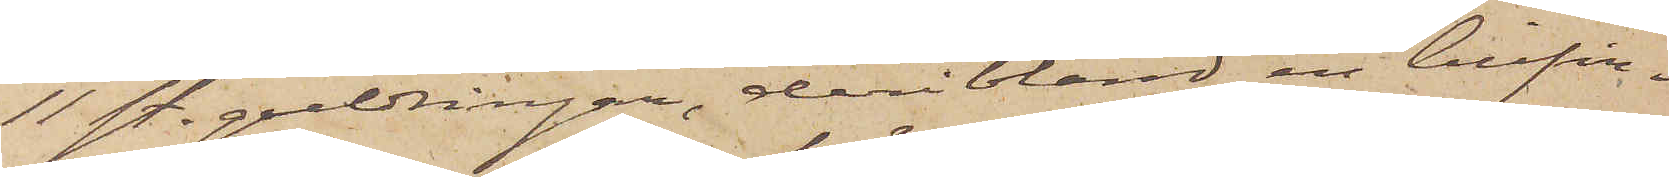11 st. guldringar, deri bland en lillfin¬
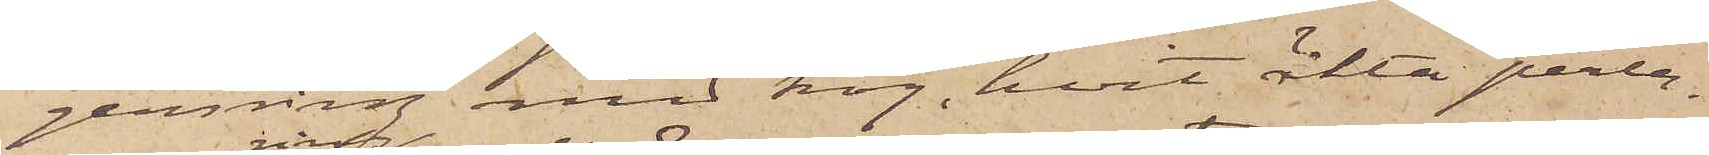gerring med hög, hvit äkta perla,
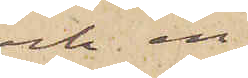och en
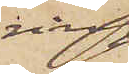ring
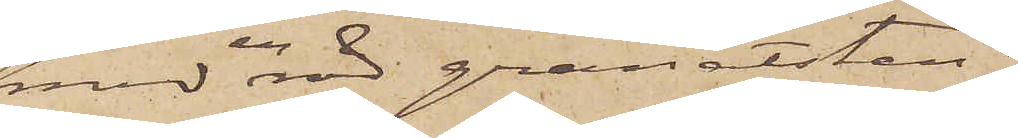med en röd granatsten.
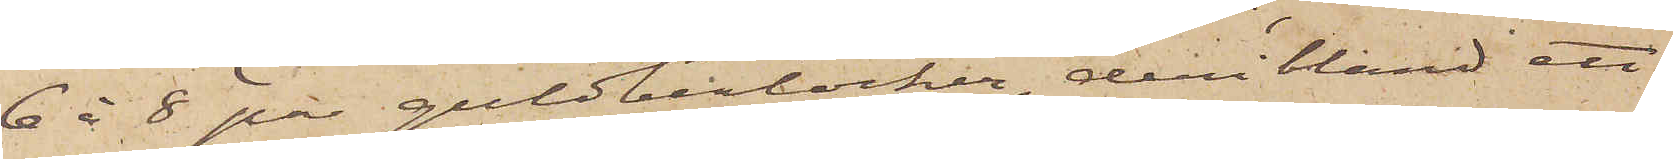6 à 8 par guldberlocker, deribland ett
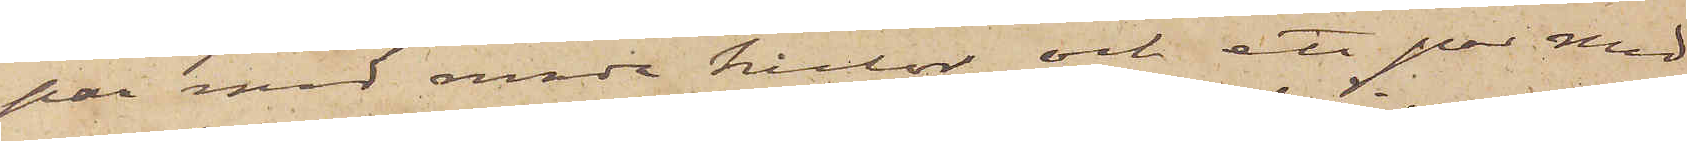par med runda kulor och ett par med
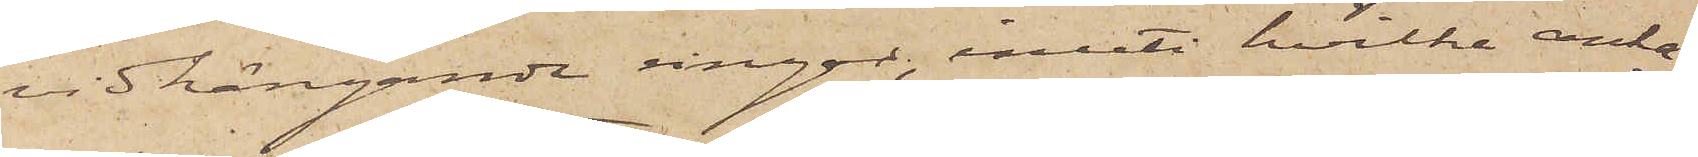vidhängande ringar, inuti hvilka anka¬
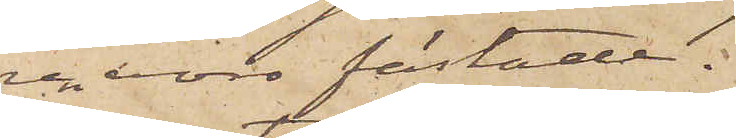ren voro fästade.
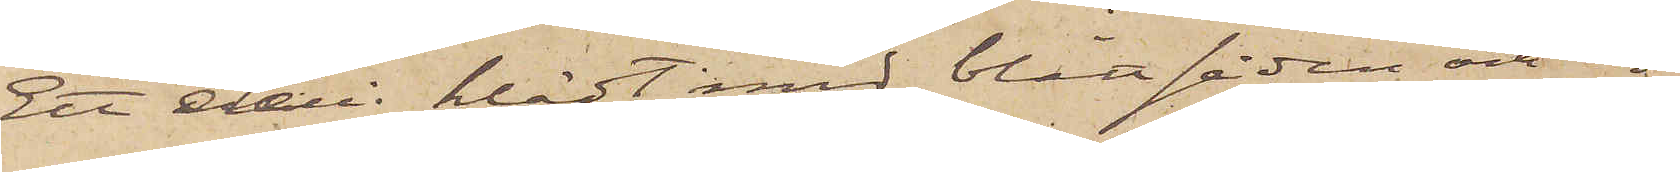Ett etui klädt med blått siden och in¬
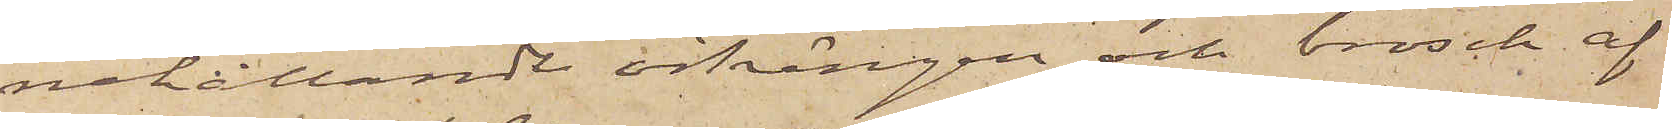nehållande örhängen och brosch af
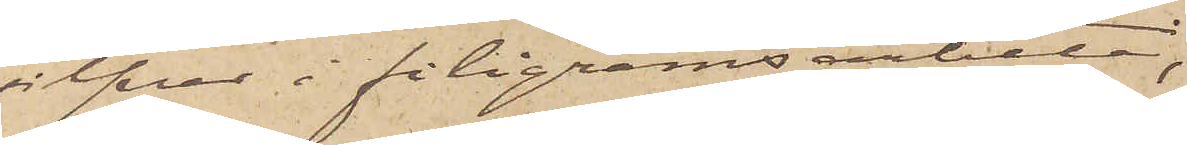silfver i filigransarbete;
